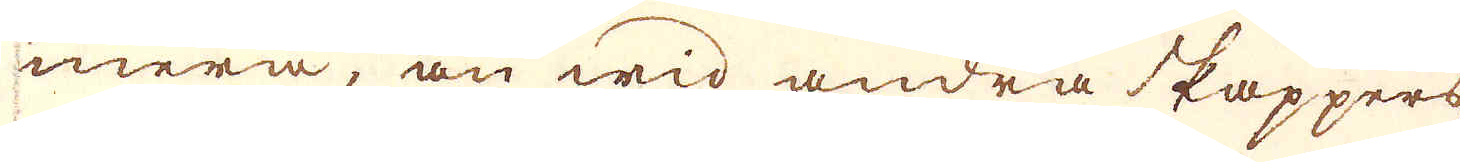mera, än wid andra Pappers
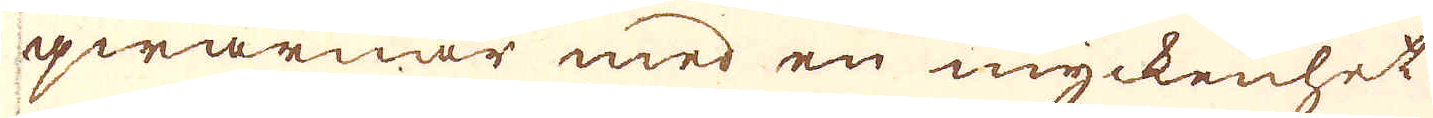qwarnar med en myckenhet
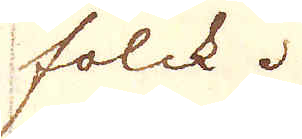folck.
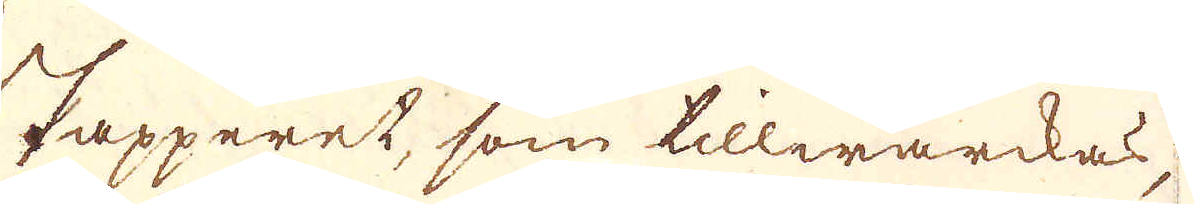Papperet, som tillwärckas,
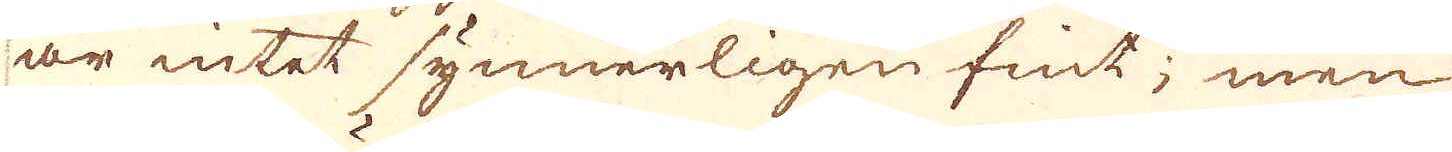är intet synnerligen fint; men
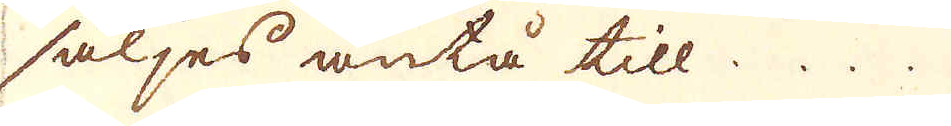säljes äntå till ...
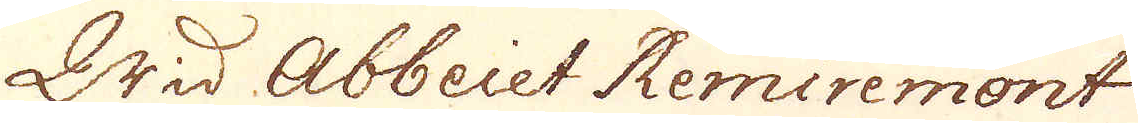Wid Abbeiet Remiremont
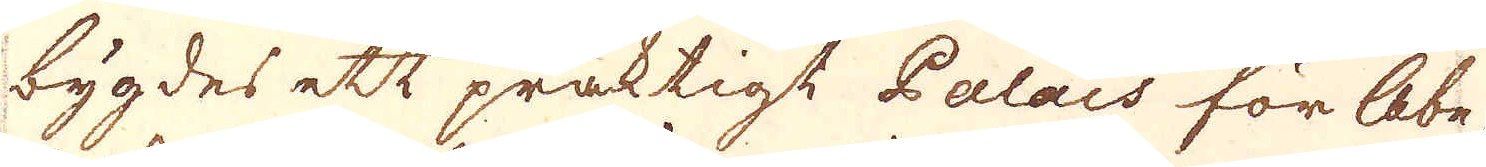bygdes ett präktigt Palais för abe-
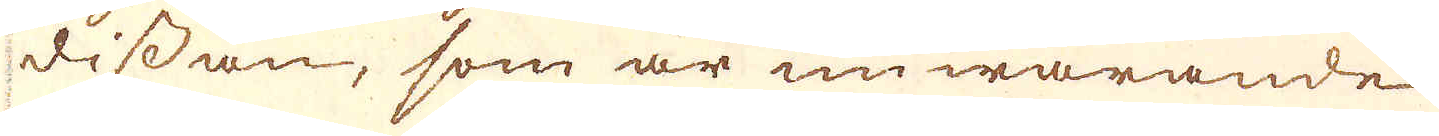dissan, som är nuwarande
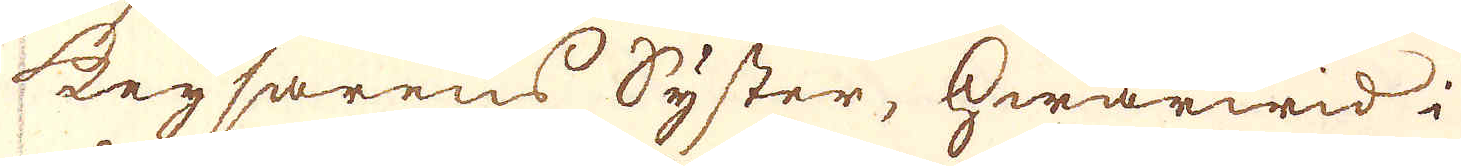keysarens Syster, hwarwid i
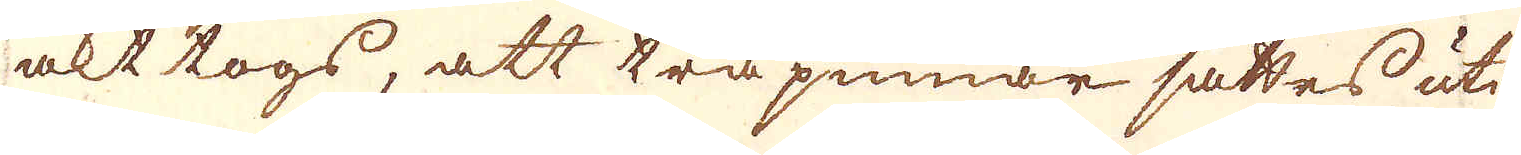akt togs, att träpinnar sattes uti
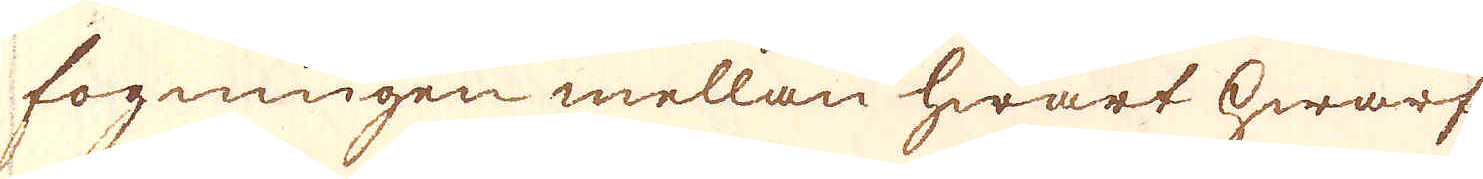fogningen mellan hwart hwarf
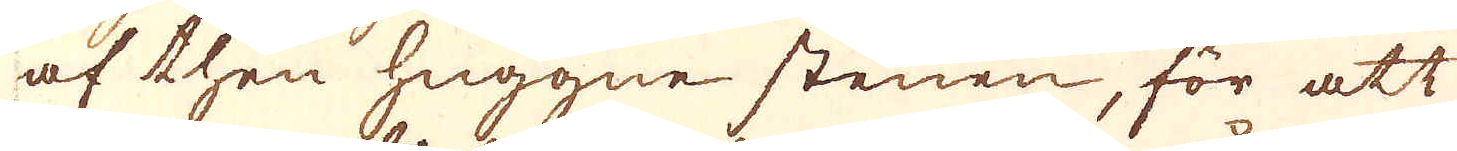af then huggne stenen, för att
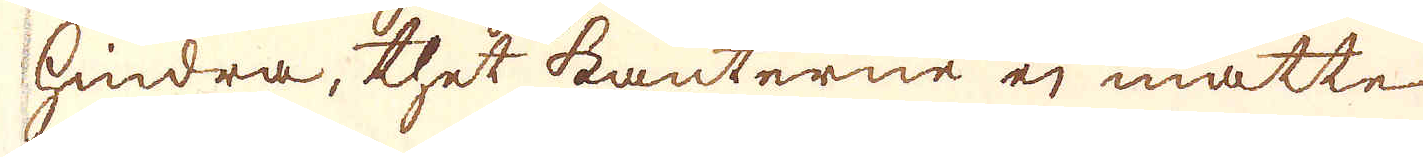hindra, thet kanterne ej måtte
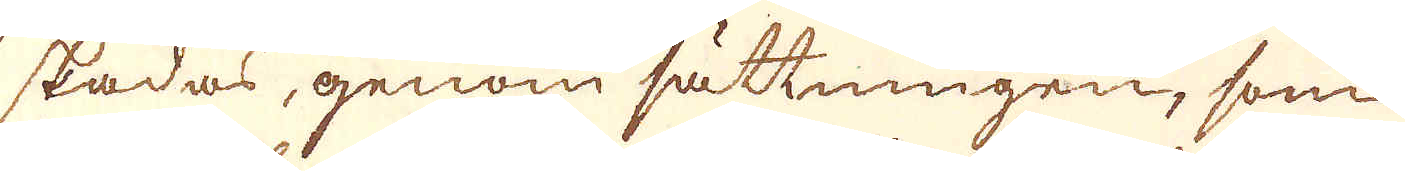skadas, genom sättningen, som
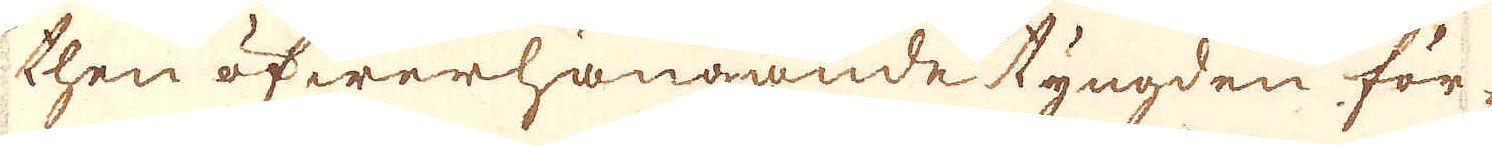then öfwerhängande tyngden för-
